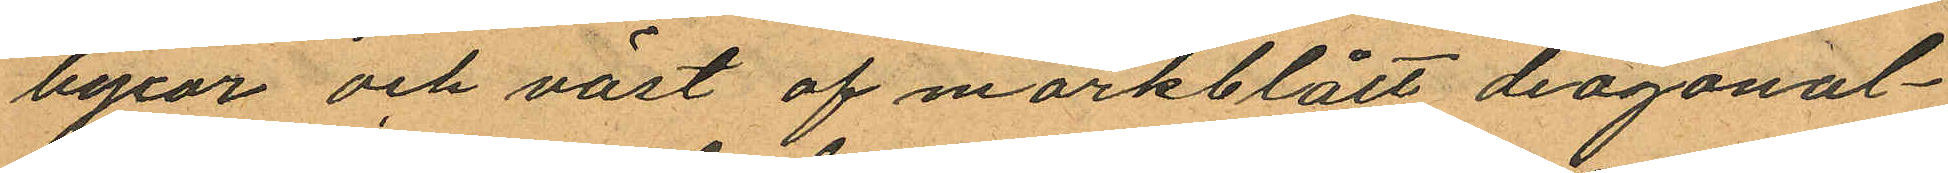byxor och väst af mörkblått diagonal¬
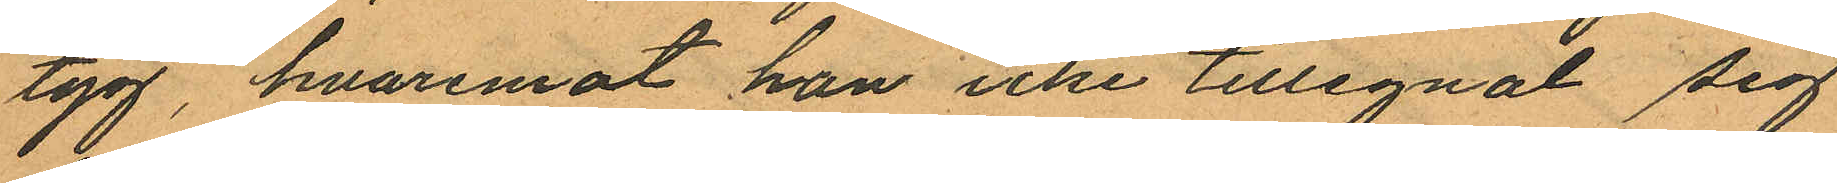tyg, hvaremot han icke tillegnat sig
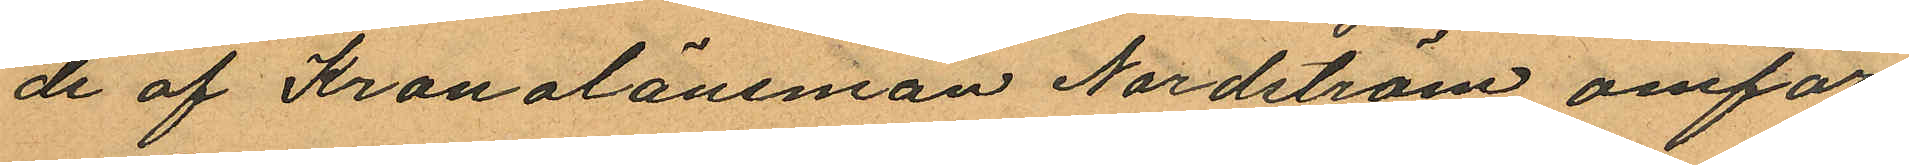de af Kronolänsman Nordström omför¬
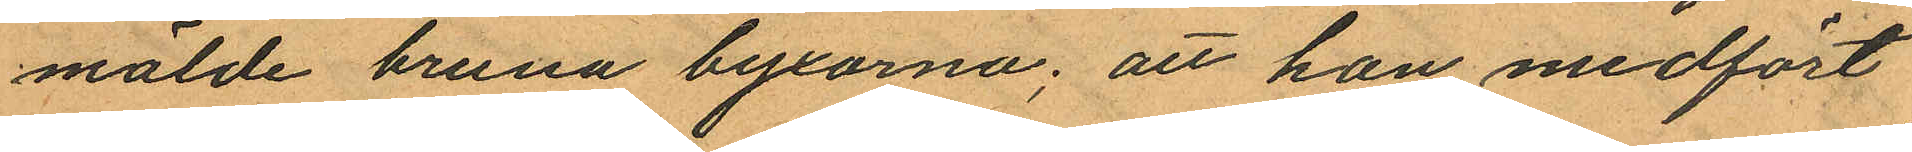mälde bruna byxorna; att han medfört
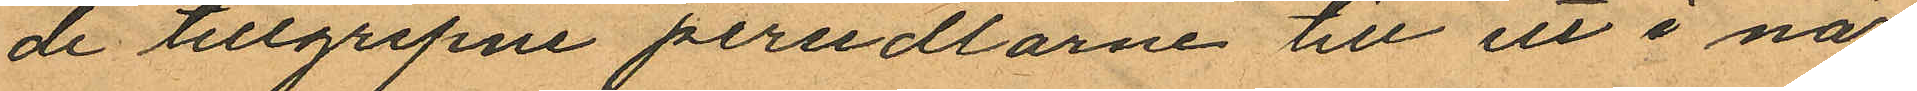de tillgripne persedlarne till ett i när¬
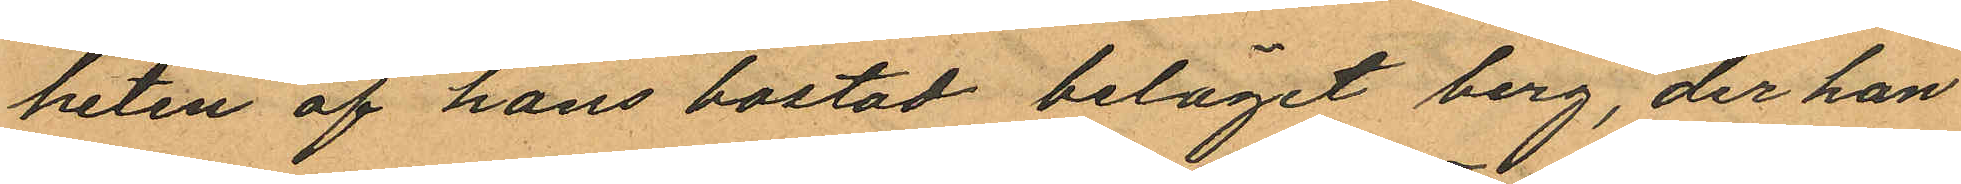heten af hans bostad beläget berg, der han
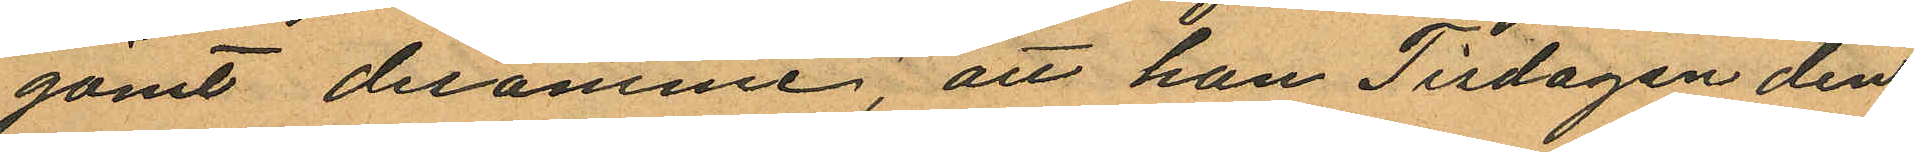gömt desamme, att han Tisdagen den
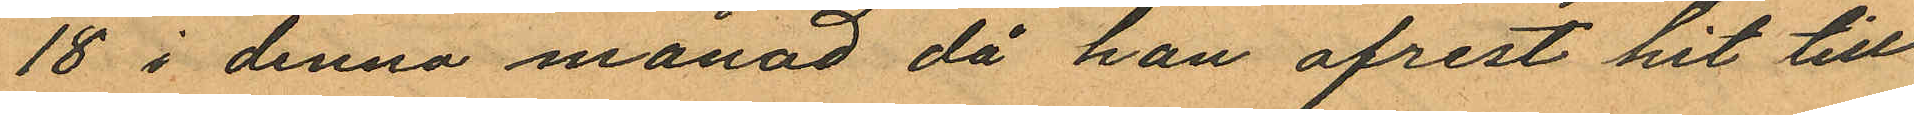18 i denna månad då han afrest hit till
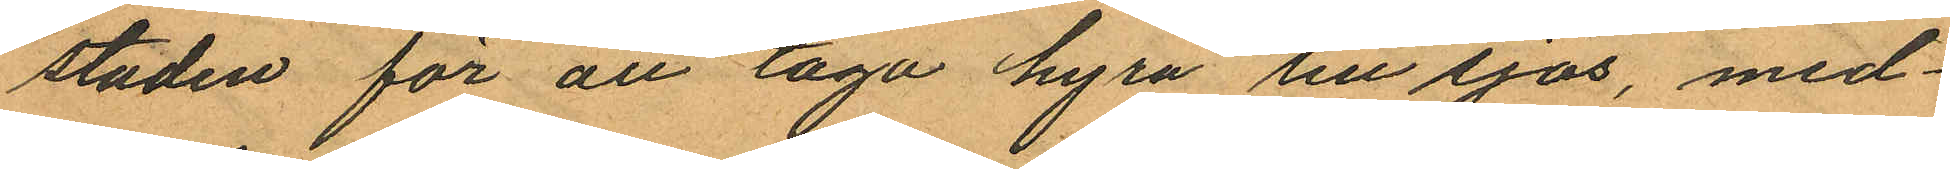staden för att taga hyra till sjös, med¬
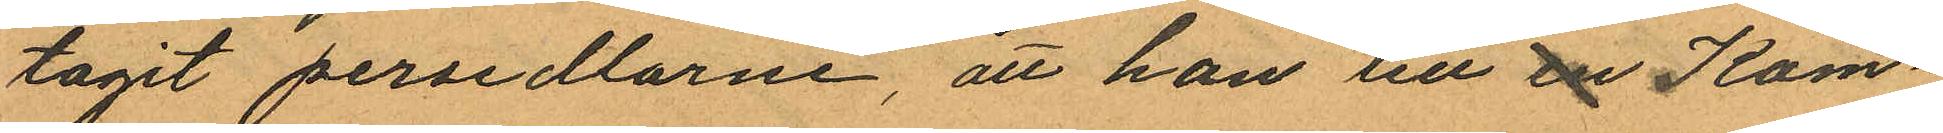tagit persedlarne, att han tlll en Kom¬
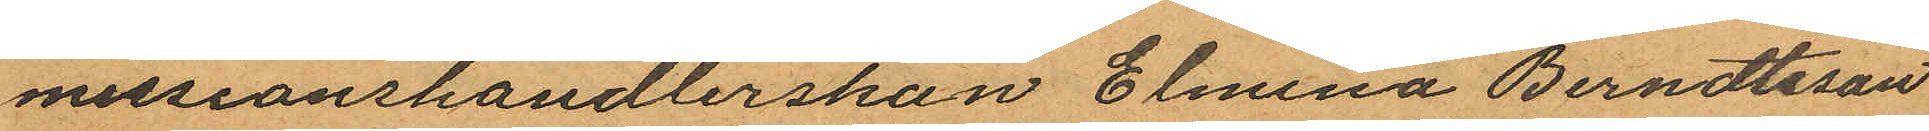missionshandlerskan Elmina Berndtsson
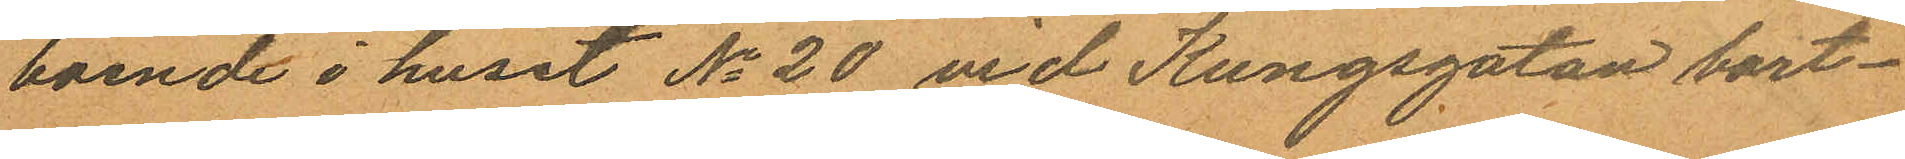boende i huset No 20 vid Kungsgatan bort¬
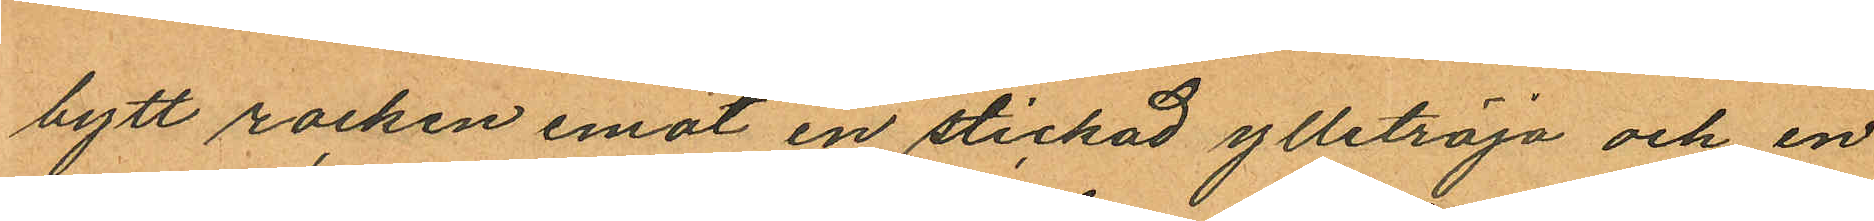bytt rocken emot en stickad ylletröja och en
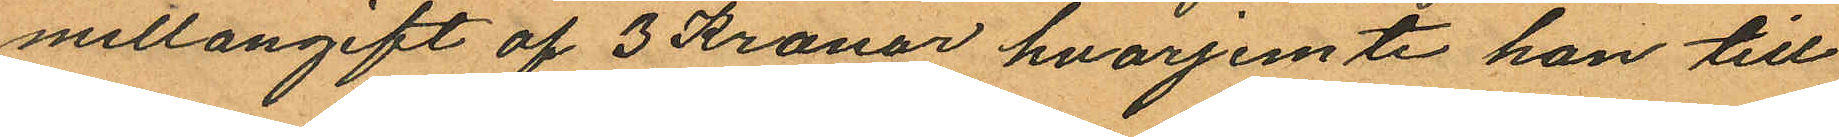mellangift af 3 Kronor, hvarjemte han till
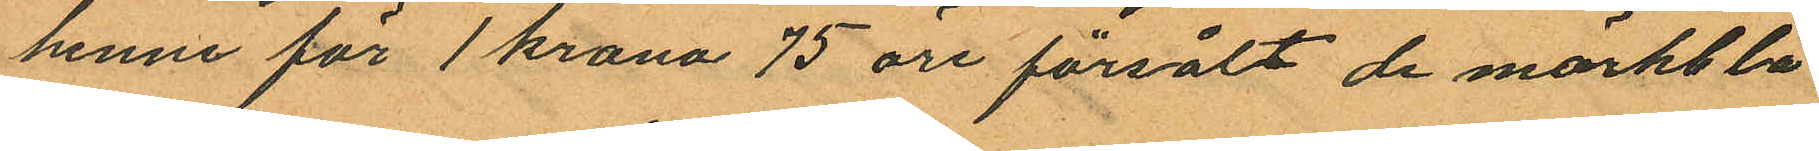henne för 1 krona 75 öre försålt de mörkblå
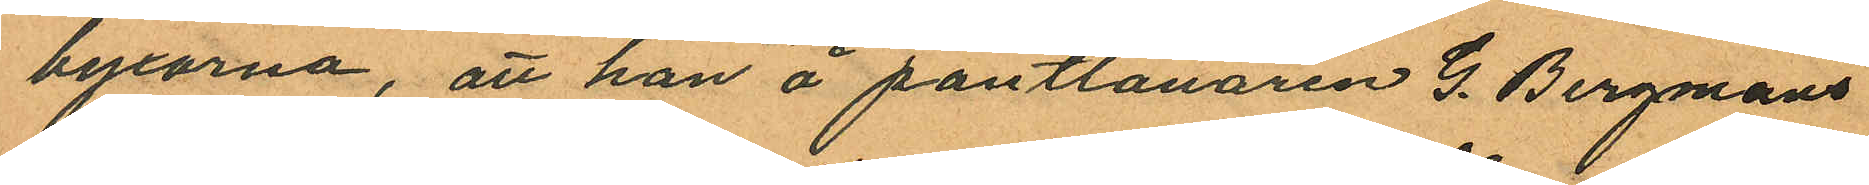byxorna, att han å pantlånaren G. Bergmans
